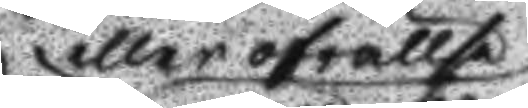eller ofrelse
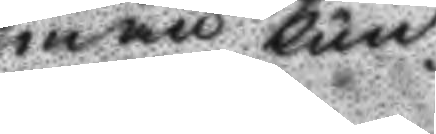man kun¬ 
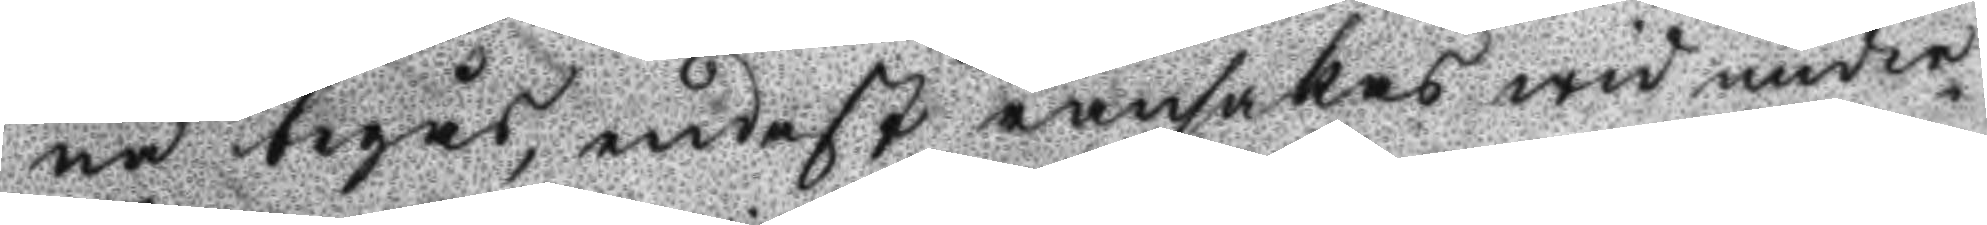na begås, endast ransakas wid under¬
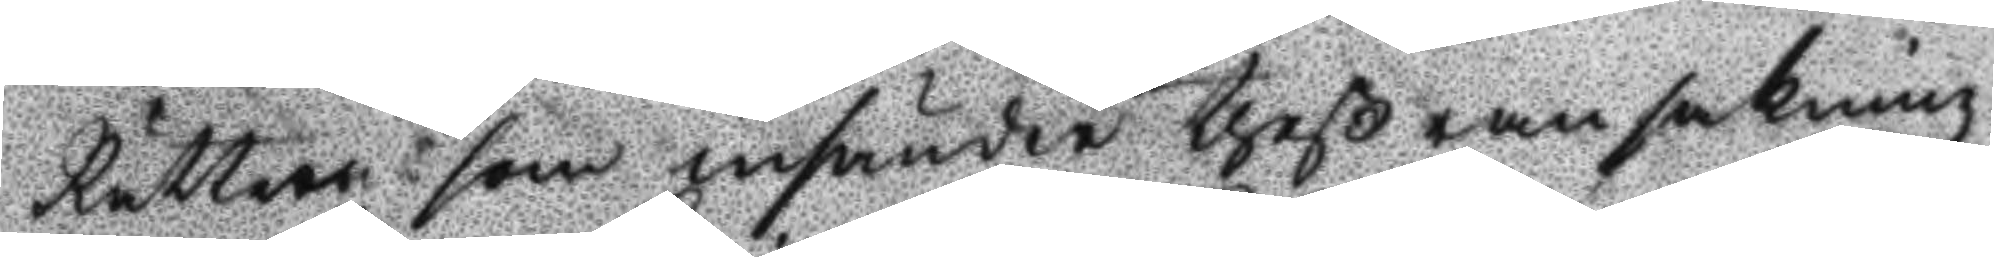Rätten som insänder theß ransakning
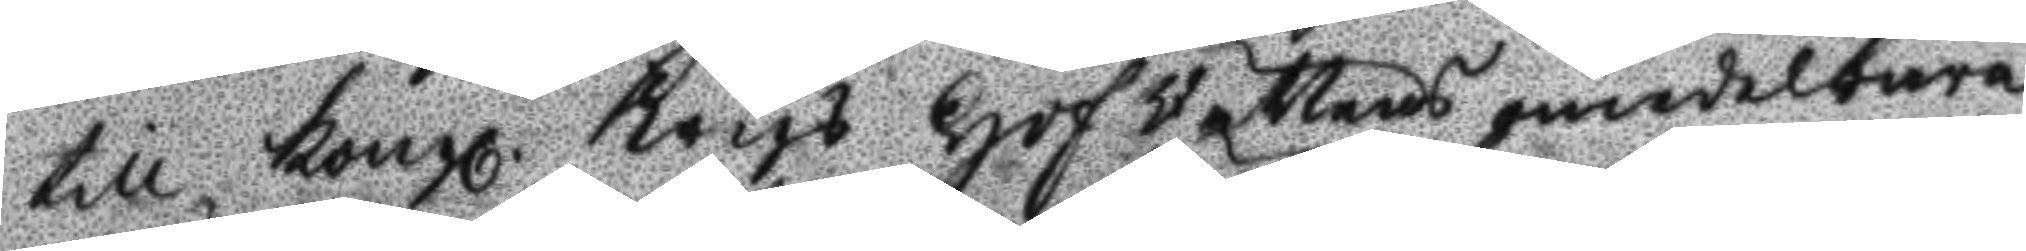till Kongl. Krigs Hof Rättens omedelbara
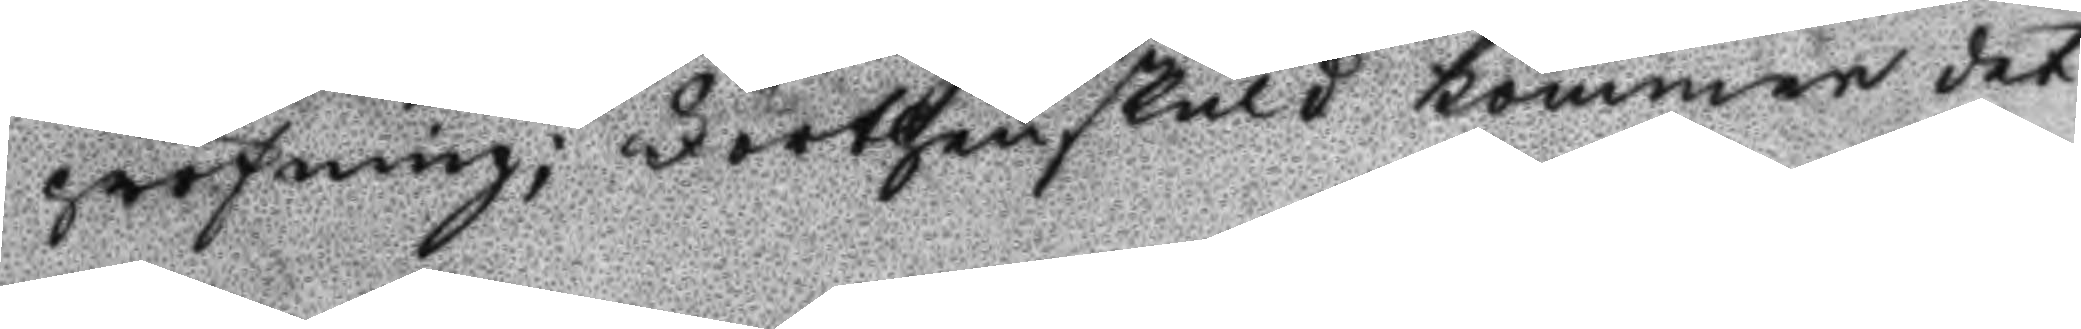pröfning; Förthen skuld kommer det
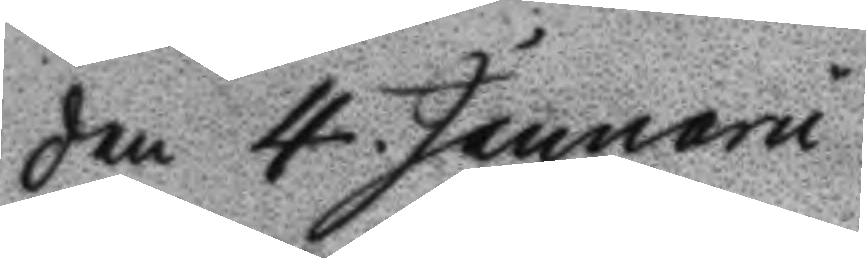den 4. januarii
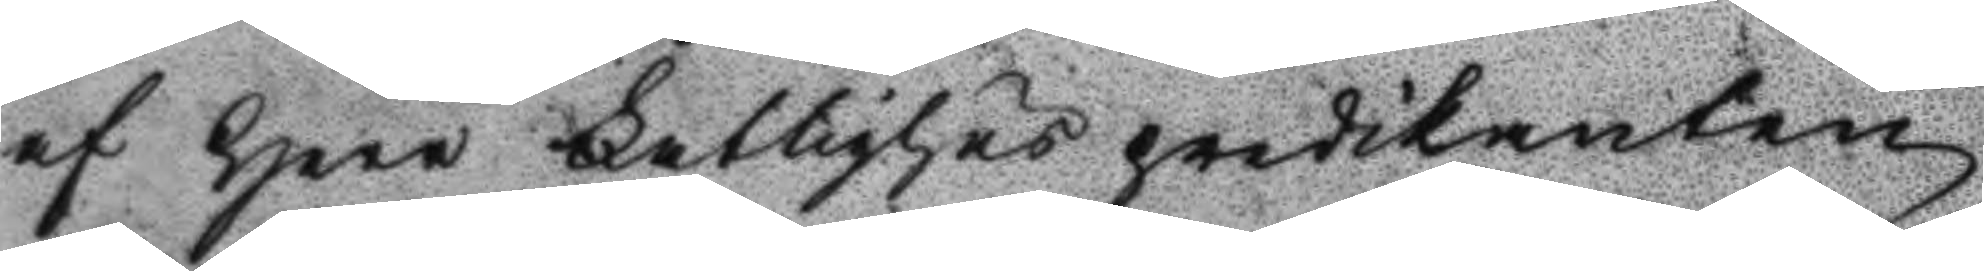af herr Fattighus predikanten 
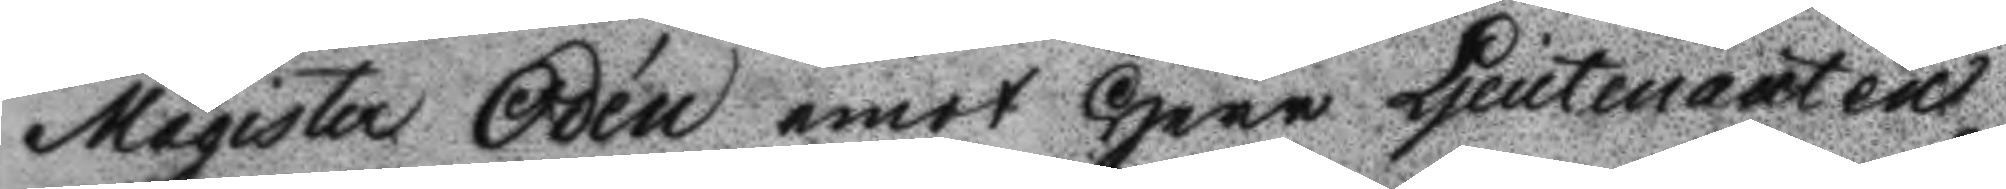Magister Odén emot Herr Ljeutenanten
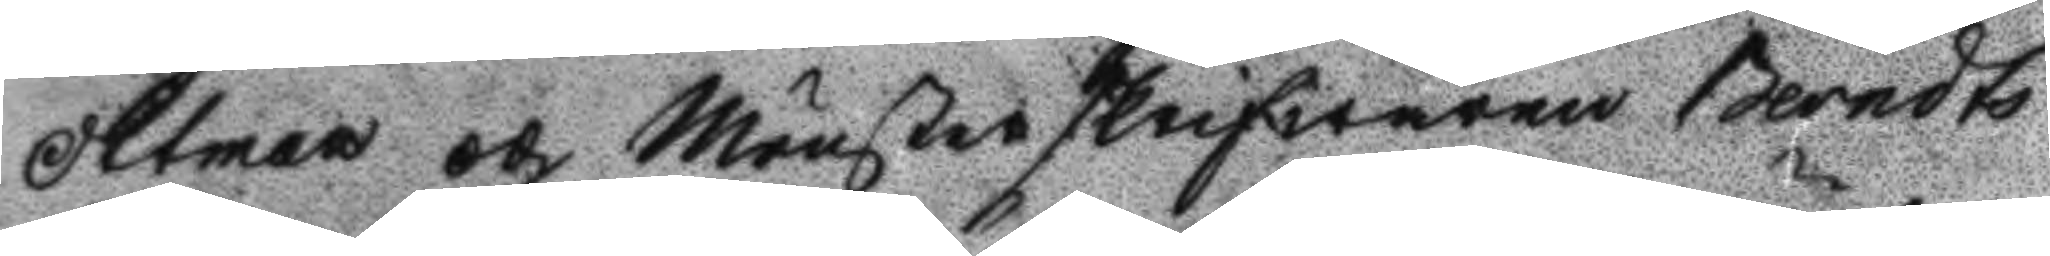Ottman och Munsterskrifwaren Berndts¬
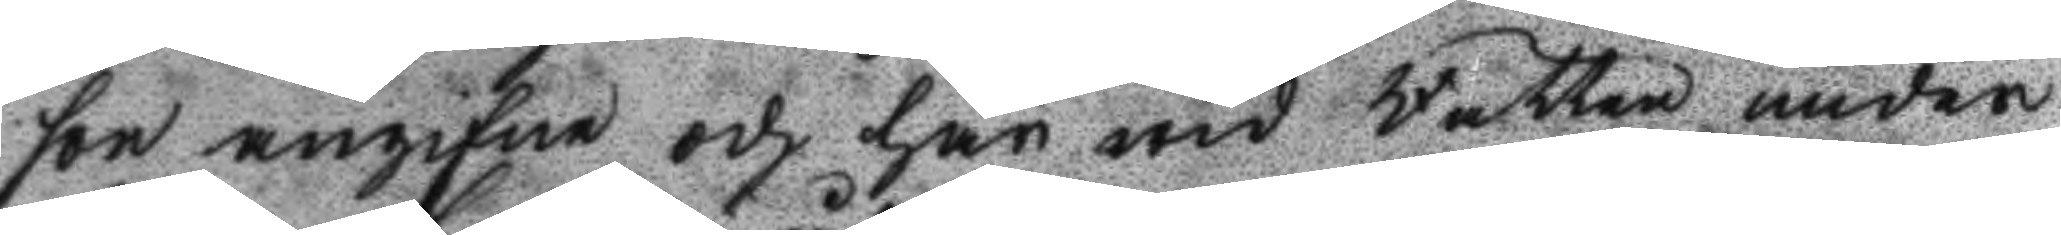son angifne och här wid Rätten under¬
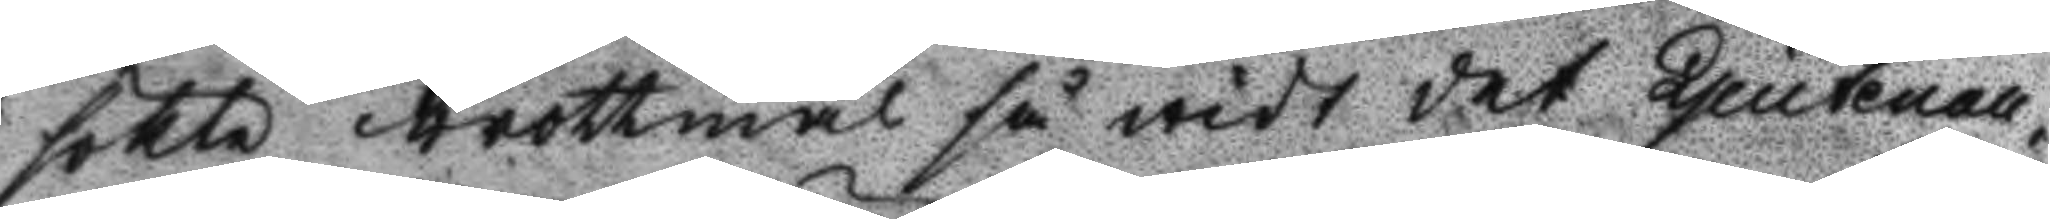sökte brottmål så widt det Ljeutenan¬
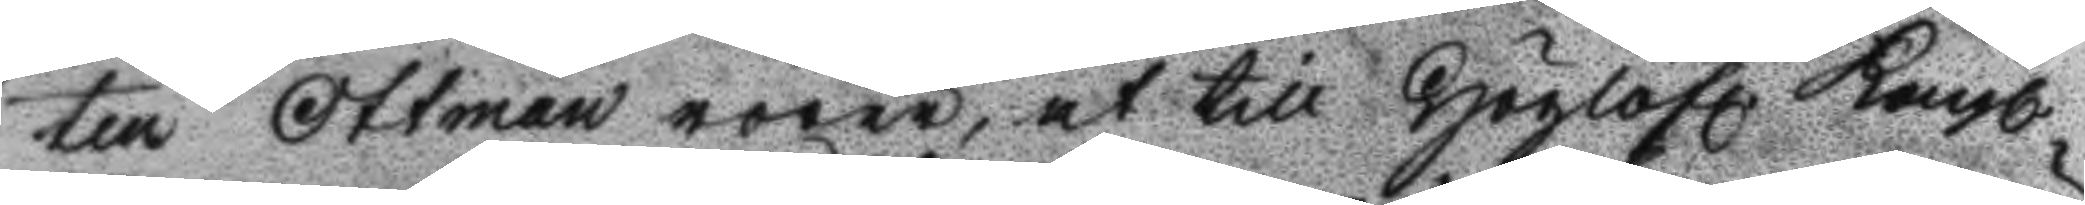ten Ottman rörer, at till Höglofl. Kongl.
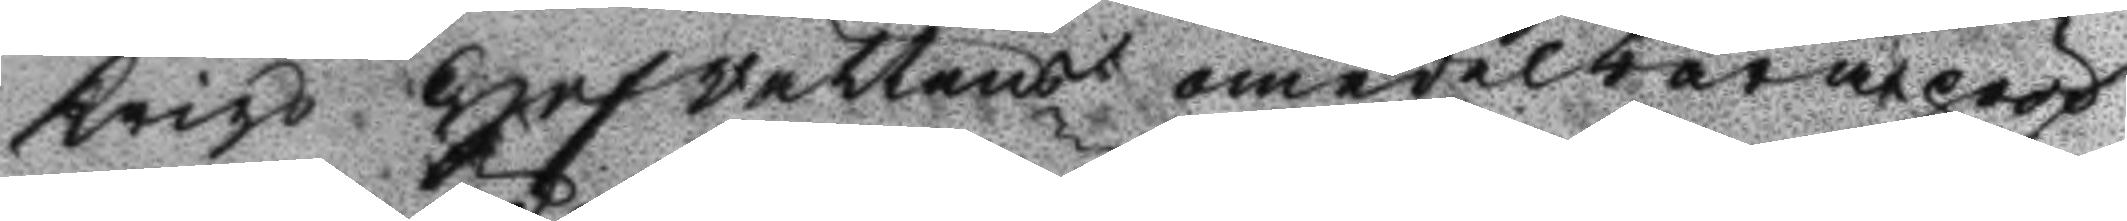Krigz Hofrättens omedelbara pröf¬
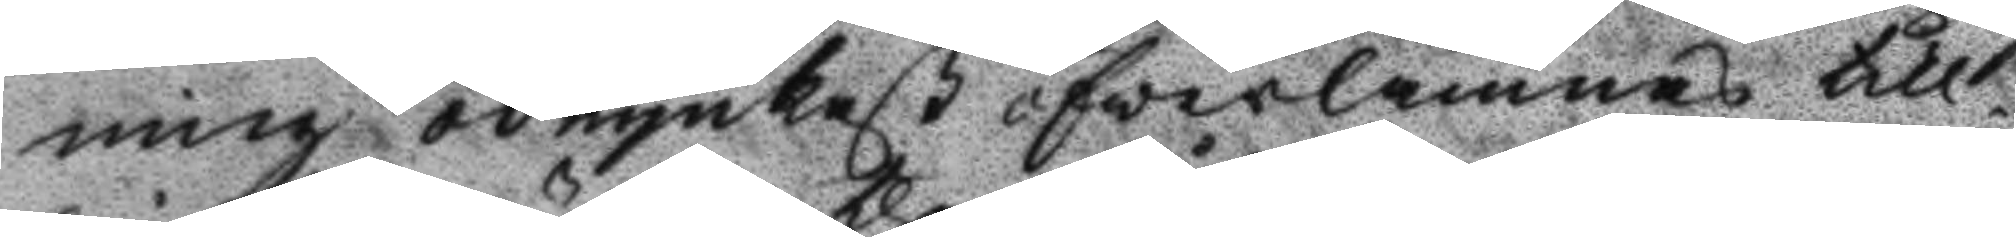ning ödmjukast öfwerlämnas till
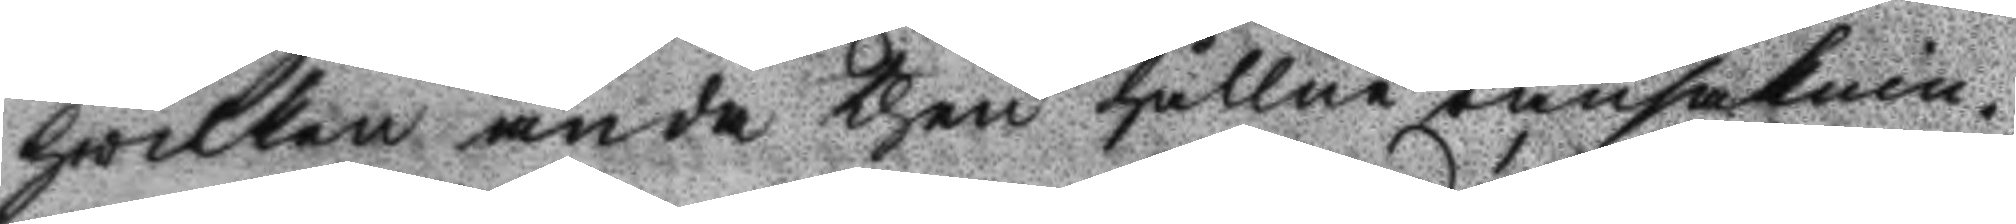hwilken ända then hållne ransaknin¬
